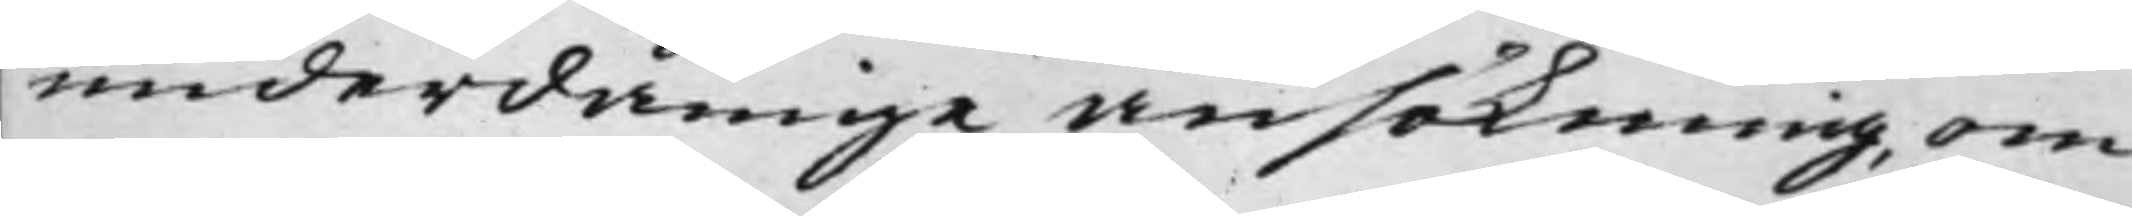underdånige ansökning, om
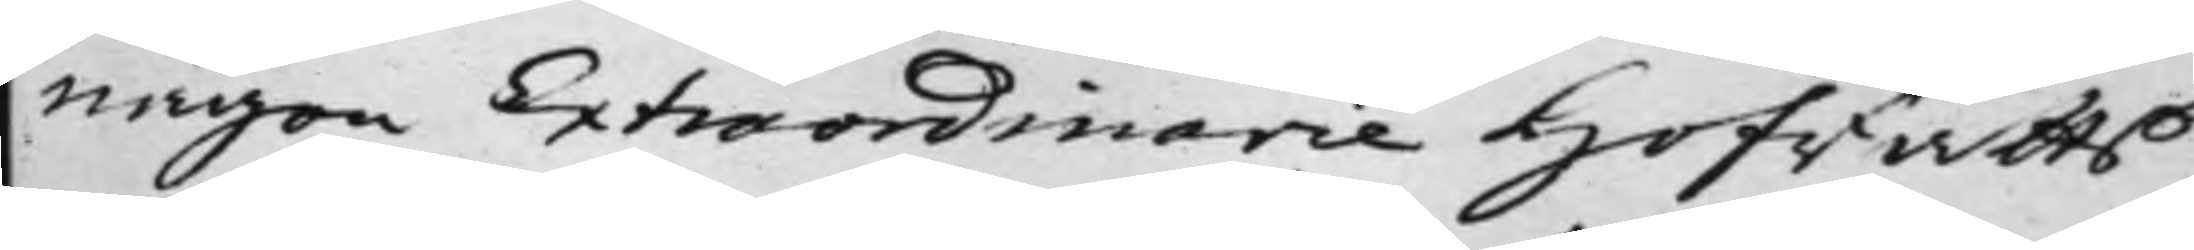någon Extraordinarie Hofrätts
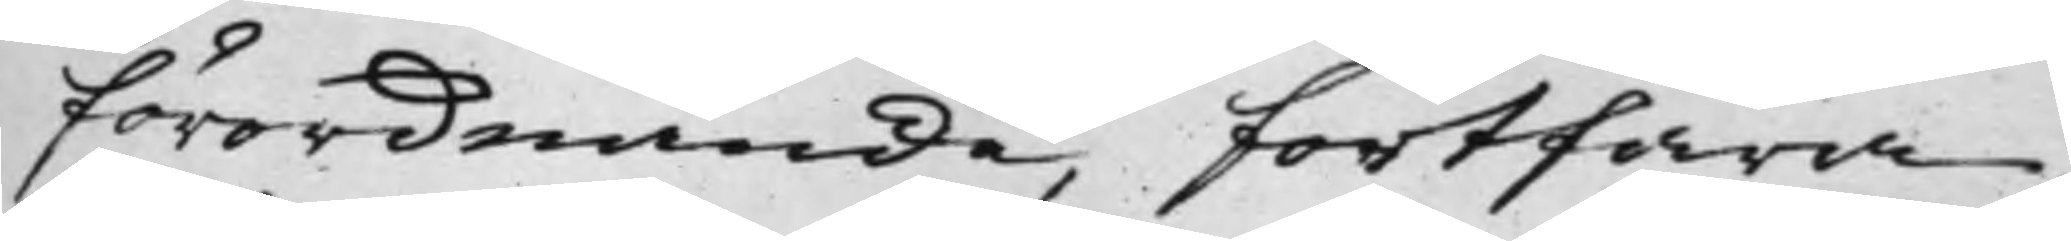förordnande, fortfara,
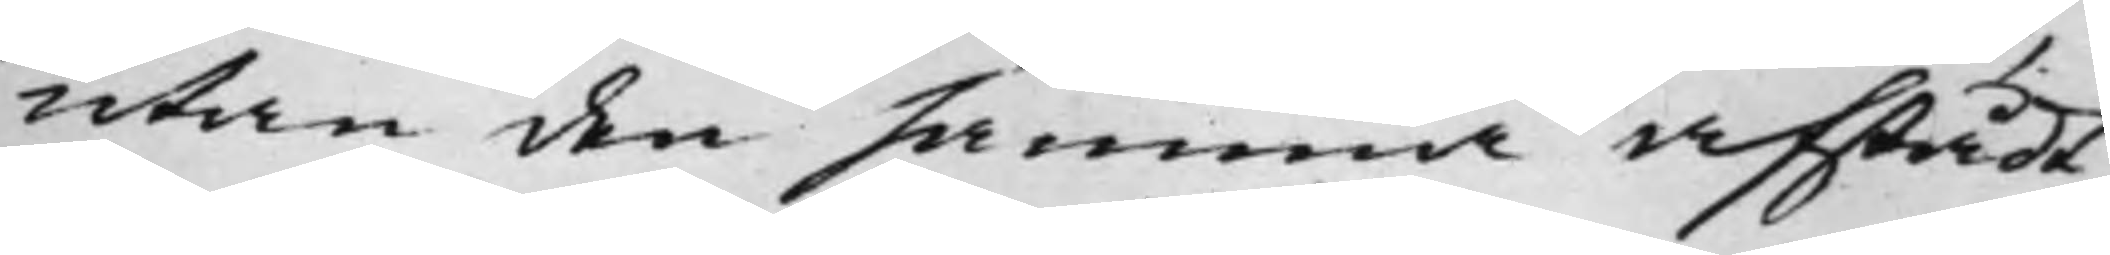utan den samma afstådt;
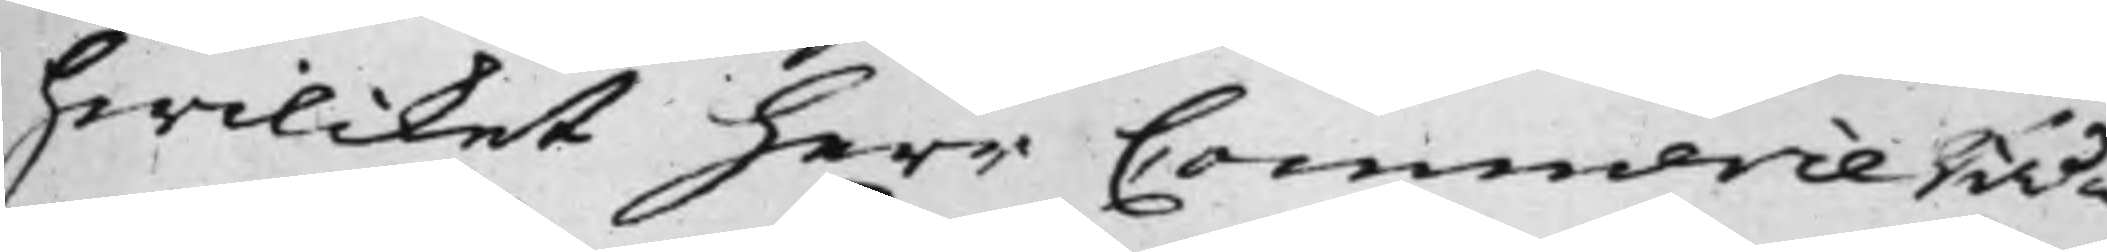hwilcket herr Commerce Rå¬
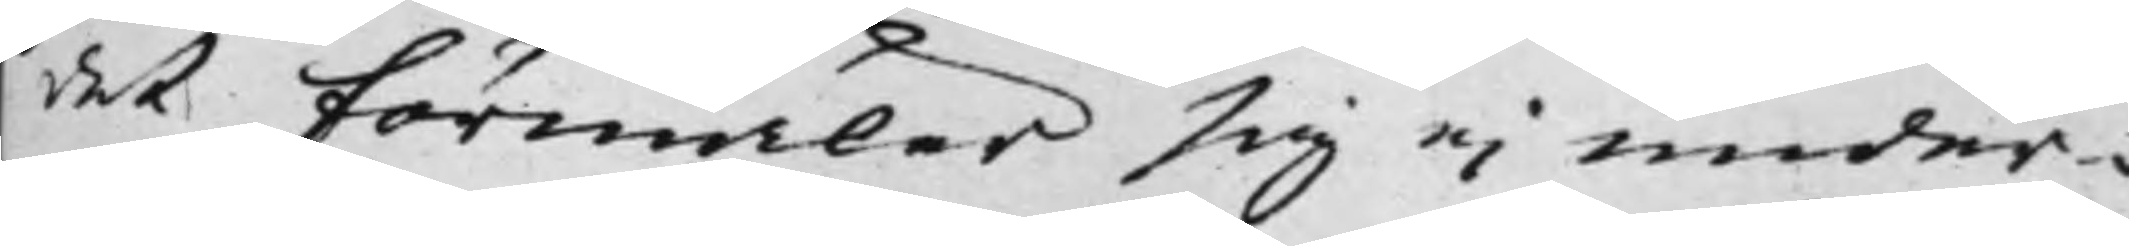det förmäler sig ei under¬
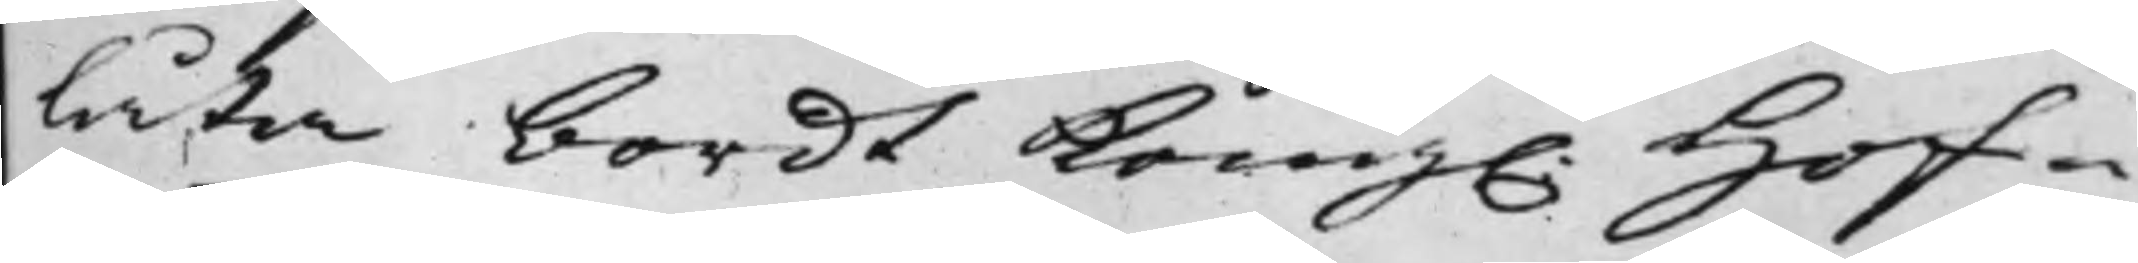låta bordt Kong. Hof¬
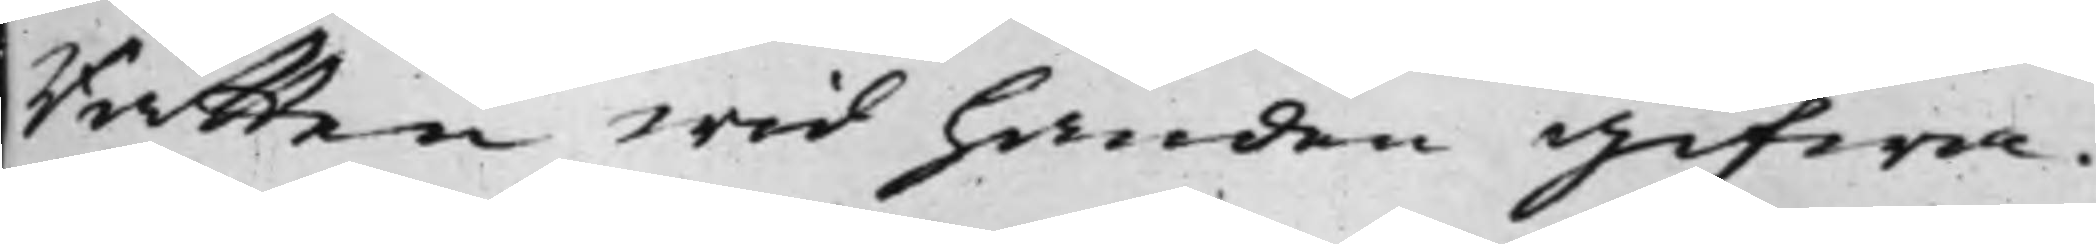Rätten wid handen gifwa.
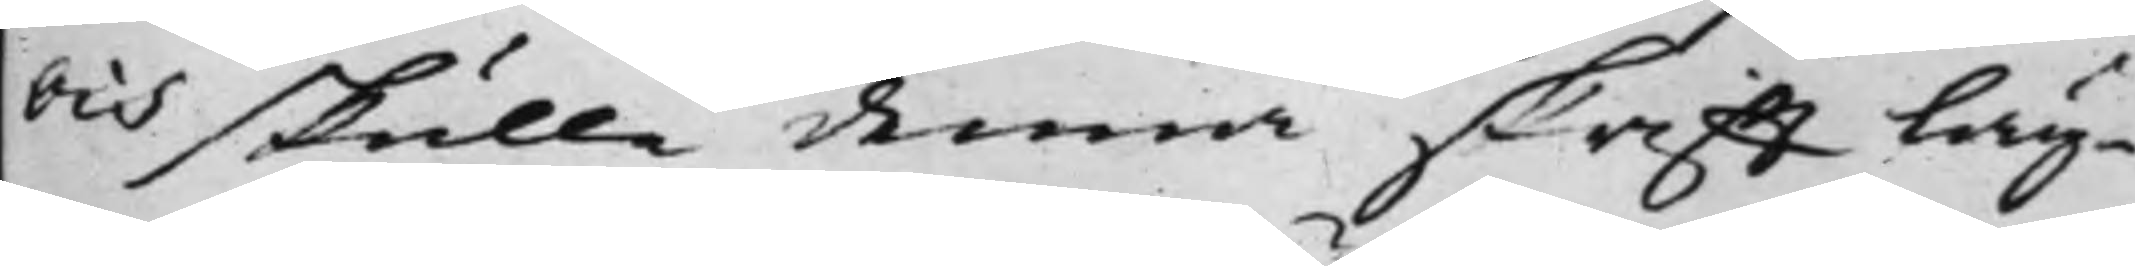Och skulle denna skrifft läg¬
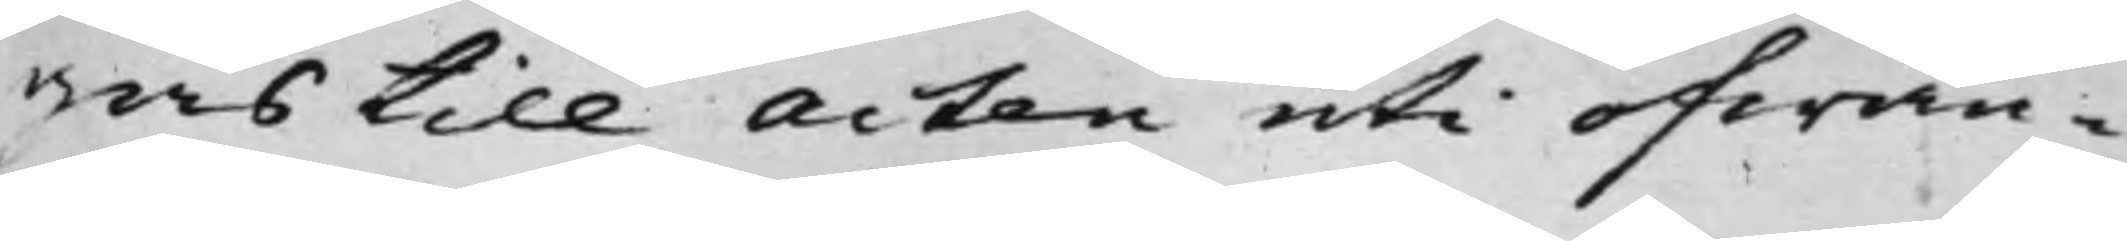gas till Acten uti ofwan¬
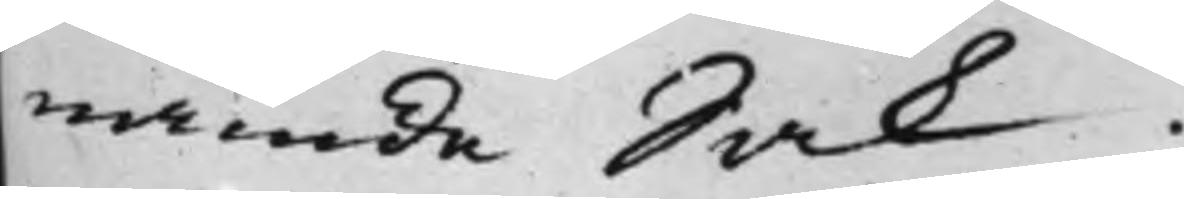nämde Sak.
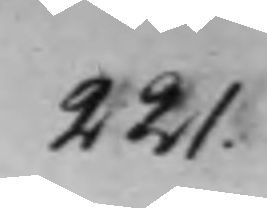221.
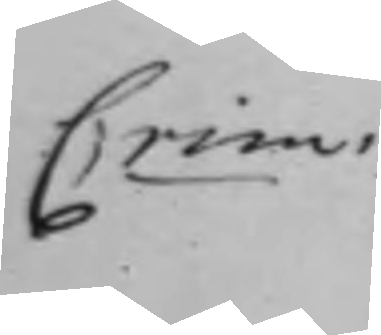Crim.
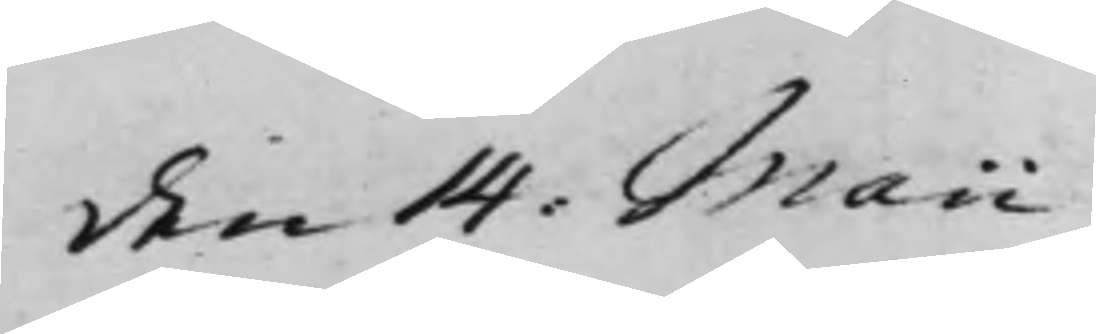den 14. Maii
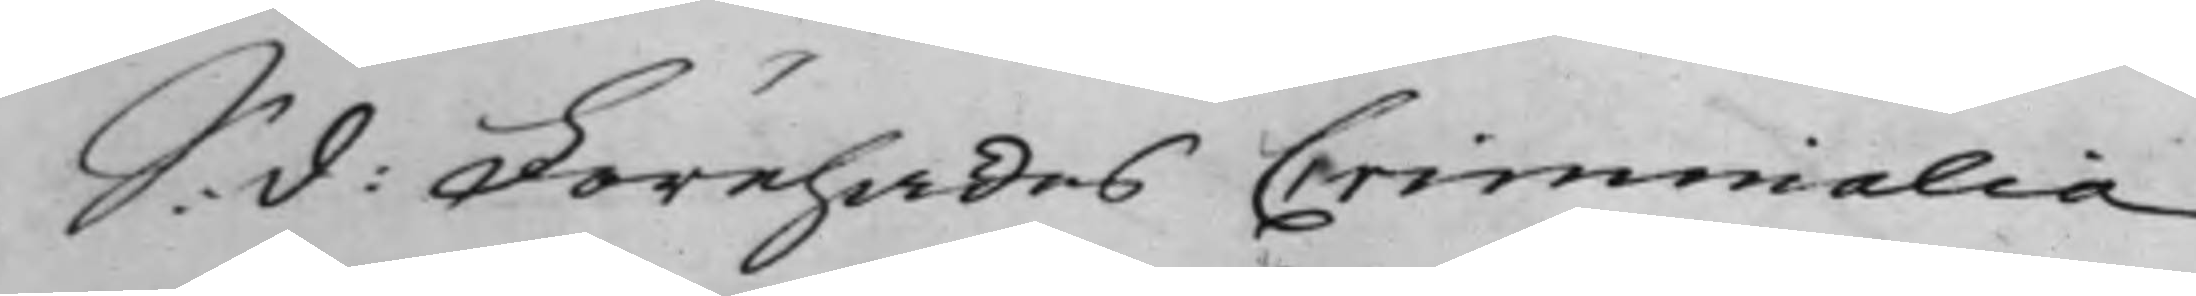S:  Förehades Criminalia
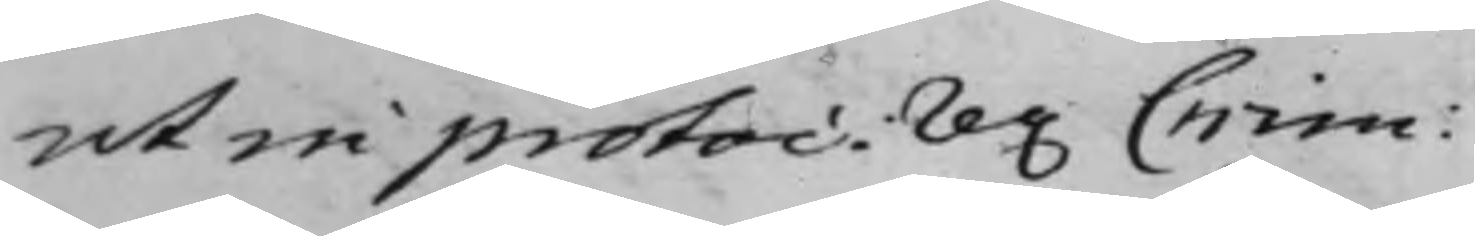ut in protoc. rer. Crim:
